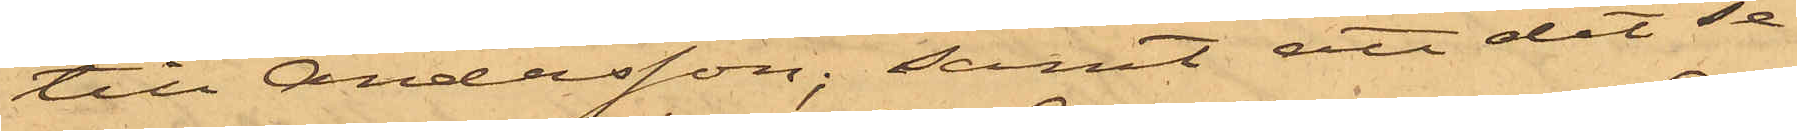till Andersson; samt att det se¬
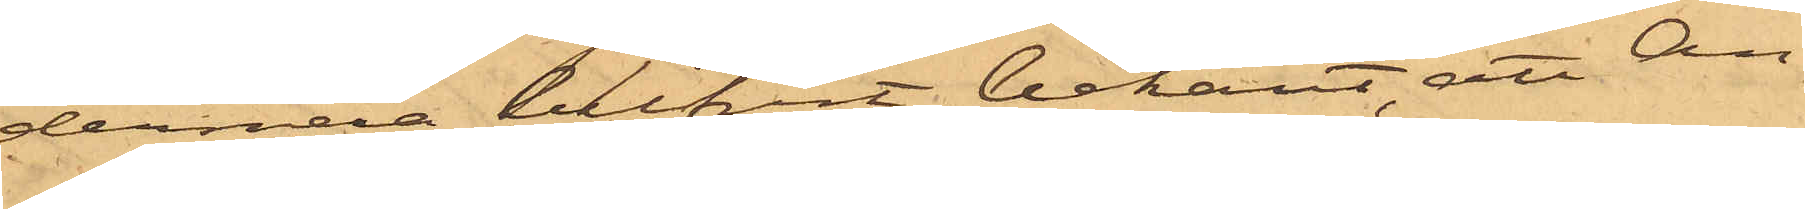dermera blifvit bekant, att An¬
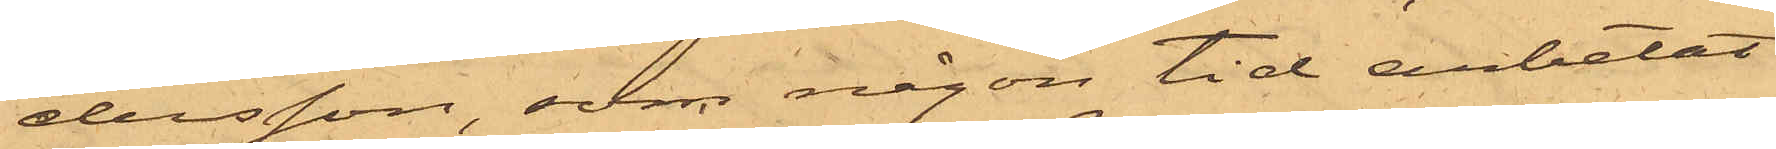dersson, som någon tid arbetat
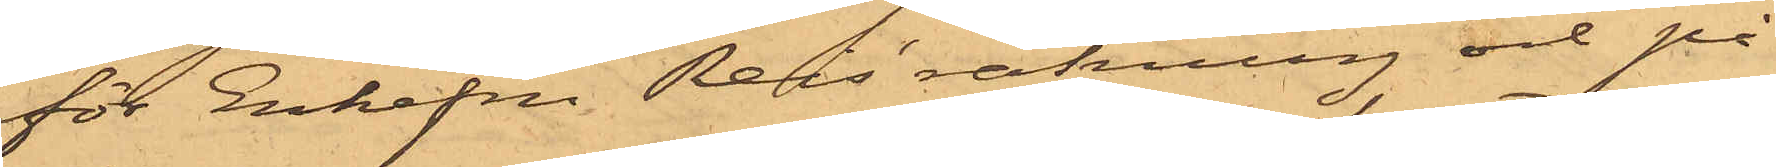för Enkefru Reis' räkning och på
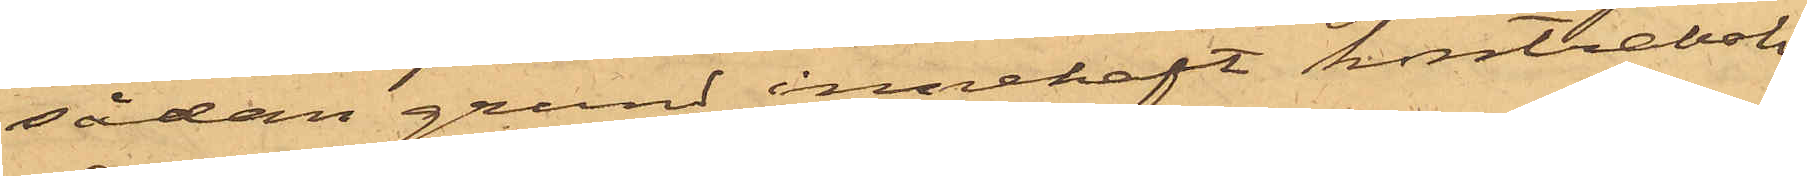sådan grund innehaft kontraboken
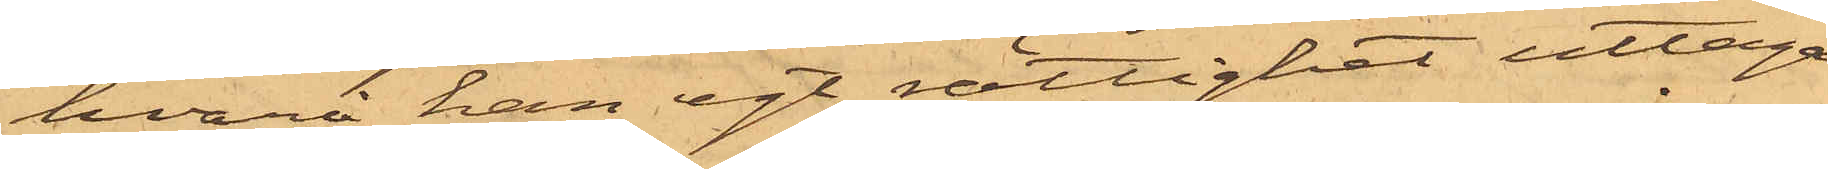hvarå han egt rättighet uttaga
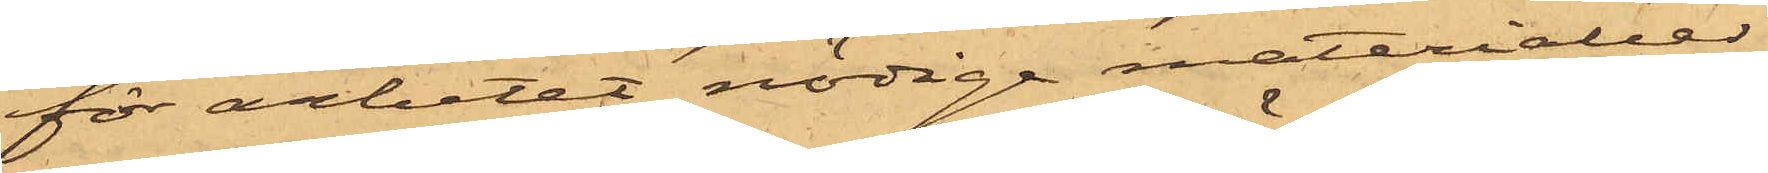för arbetat nödige materialier,
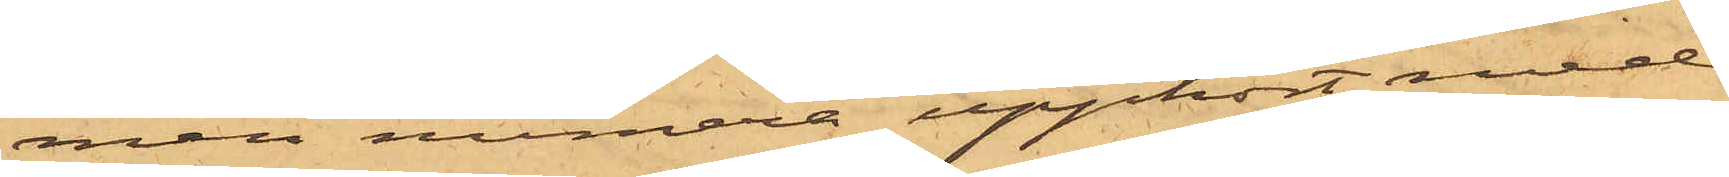men numera upphört med
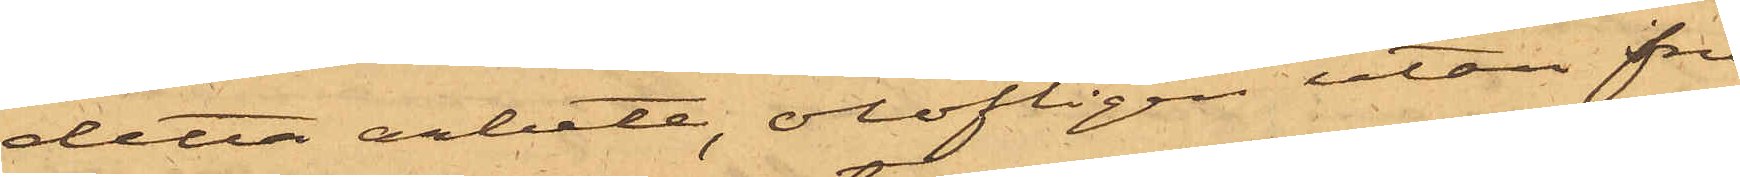detta arbete, olofligen utan fru
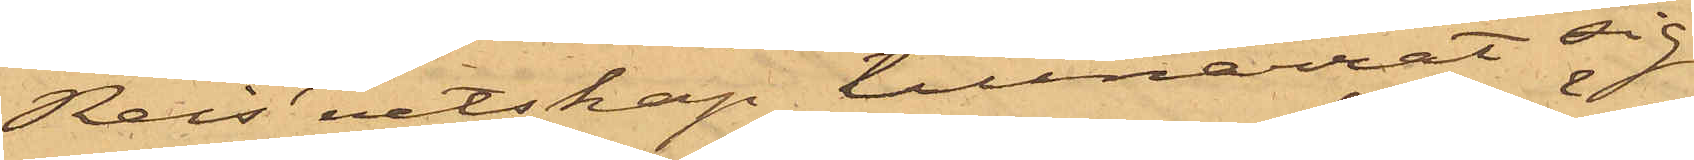Reis' vetskap tillnarrat sig
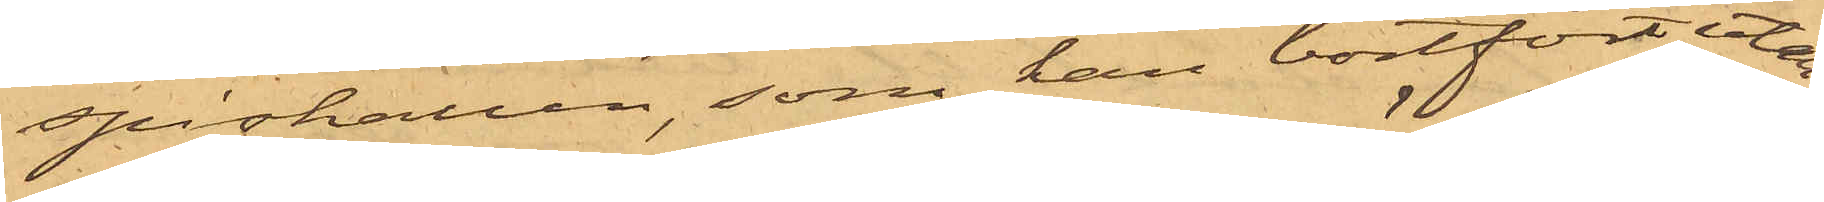spishallen, som han bortfört utan
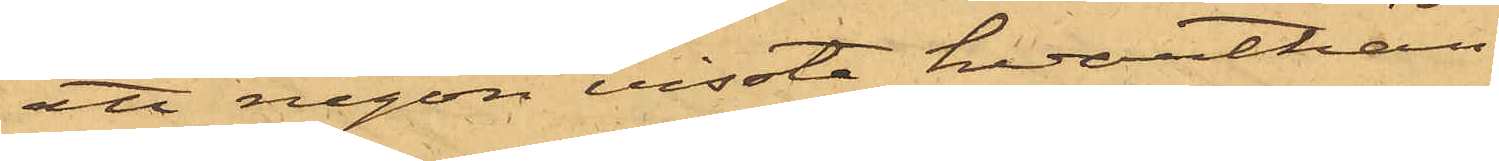att någon visste hvarthän.
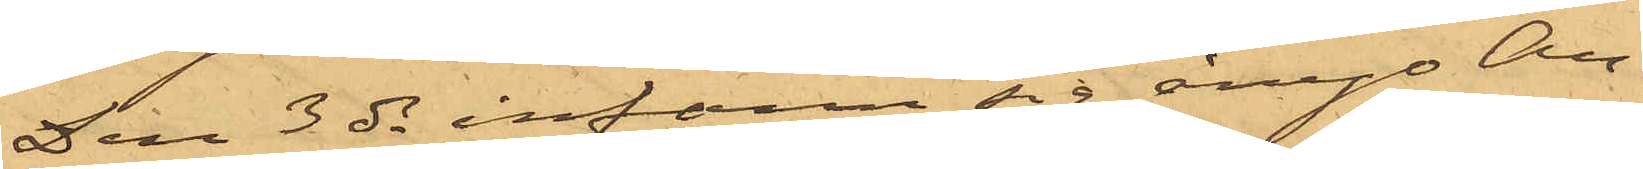Den 3 ds infann sig ånyo An¬
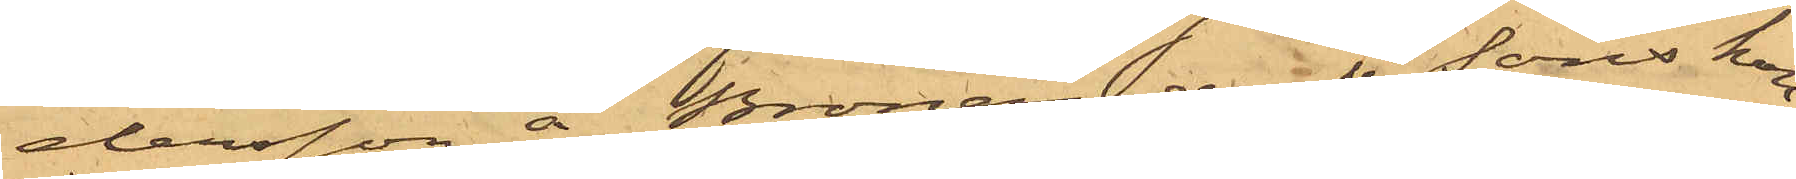dersson å Bronanders & Sons kon¬
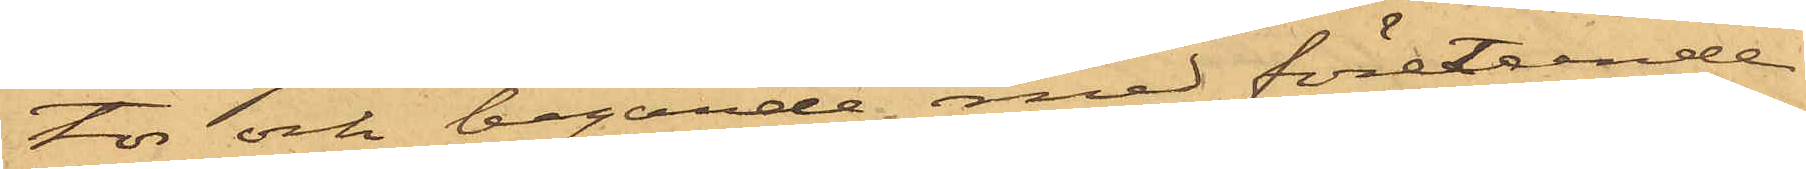tor och begärde med företeende
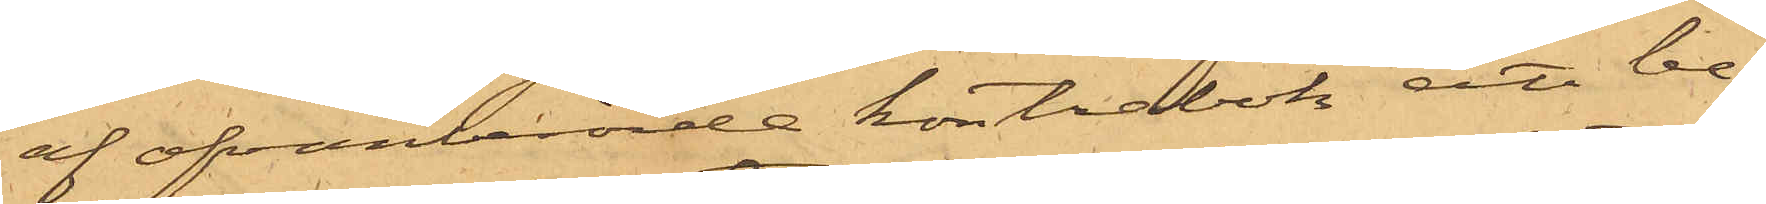af ofvanberörde kontrabok att be¬
